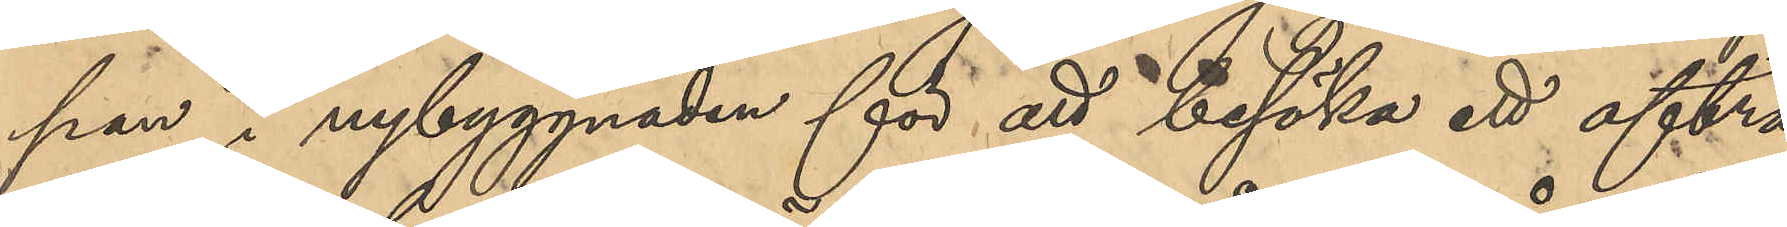pan i nybyggnaden för att besöka ett afträ¬
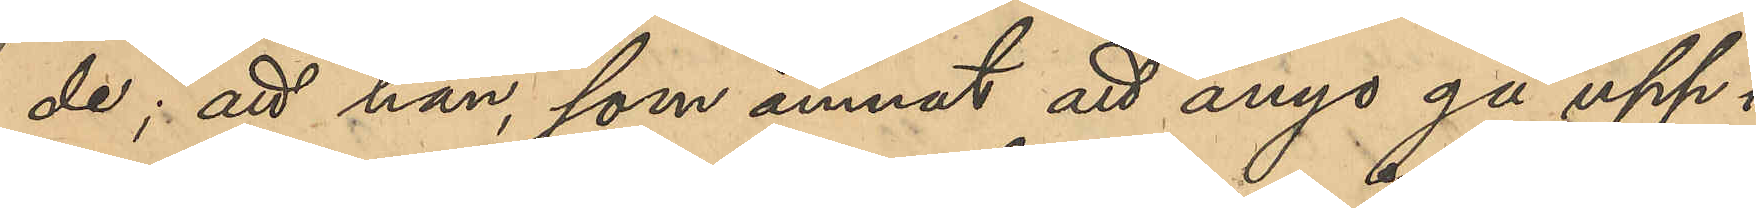de; att han, som ämnat att ånyo gå upp i
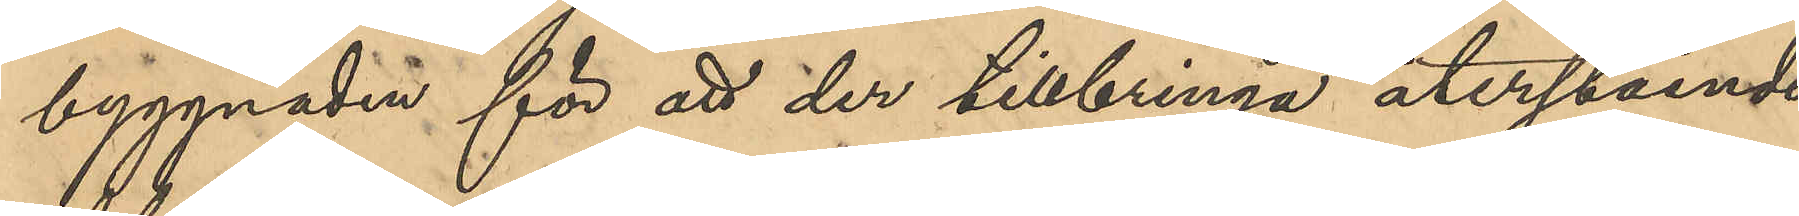byggnaden för att der tillbringa återstående
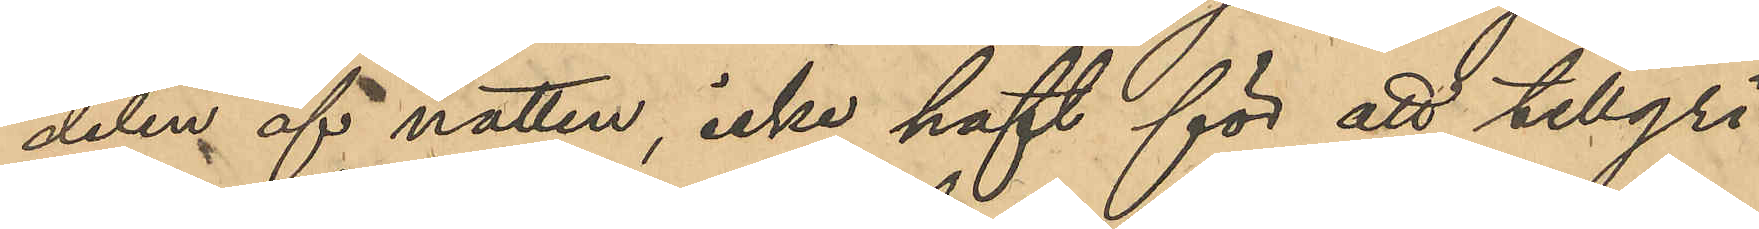delen af natten, icke haft för att tillgri¬
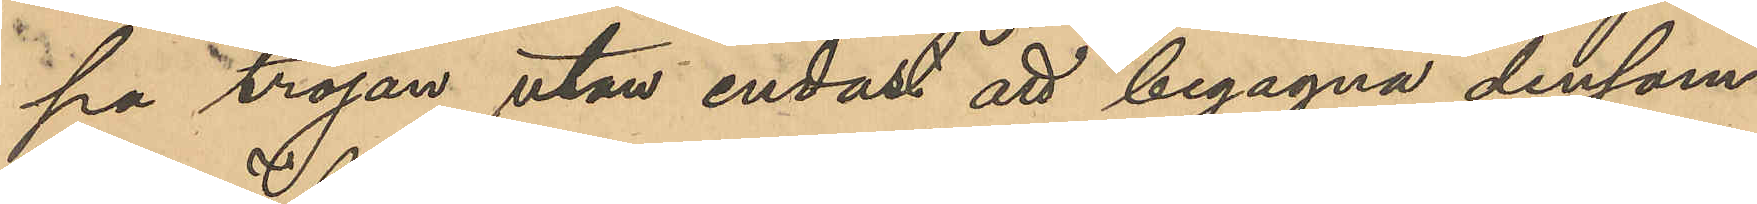pa tröjan utan endast att begagna densam¬
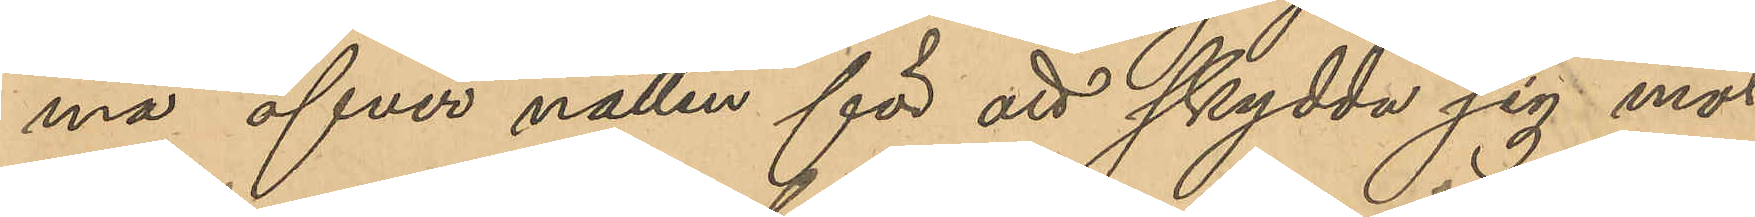ma öfver natten för att skydda sig mot
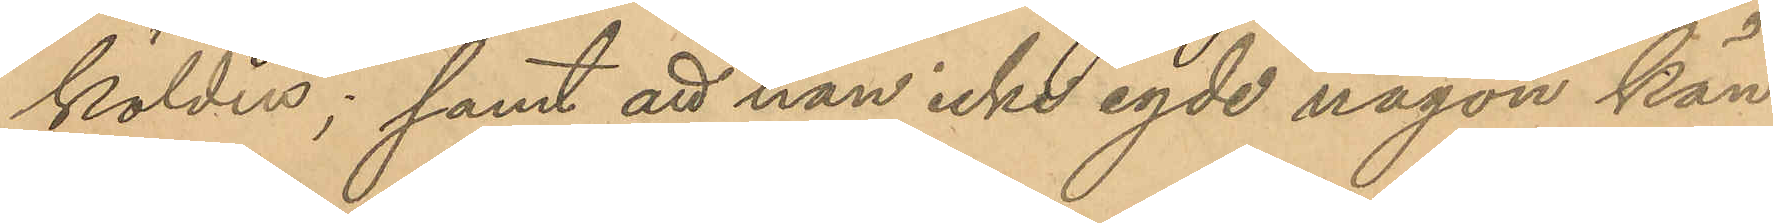kölden; samt att han icke egde någon kän¬
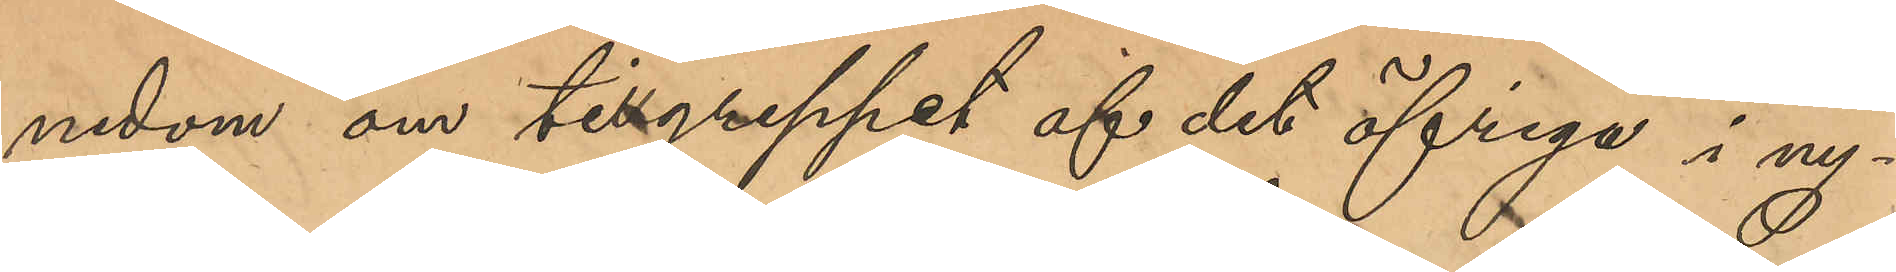nedom om tillgreppet af det öfriga i ny¬
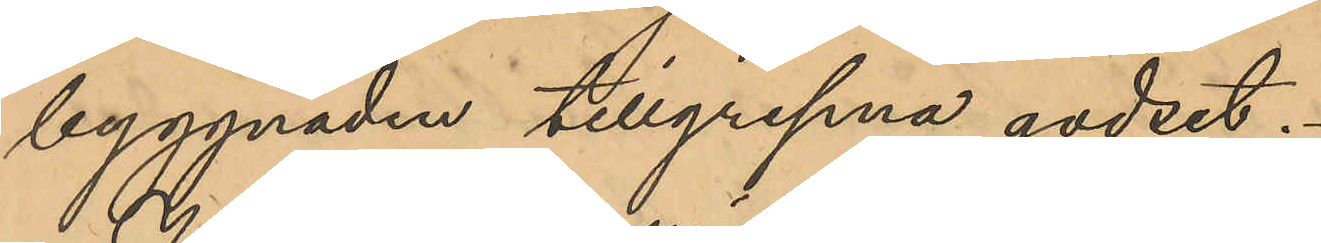byggnaden tillgripna godset.
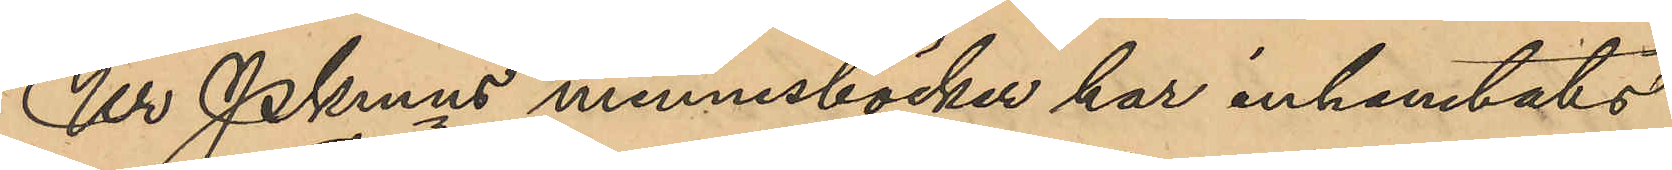Ur PKmns minnesböcker har inhemtats
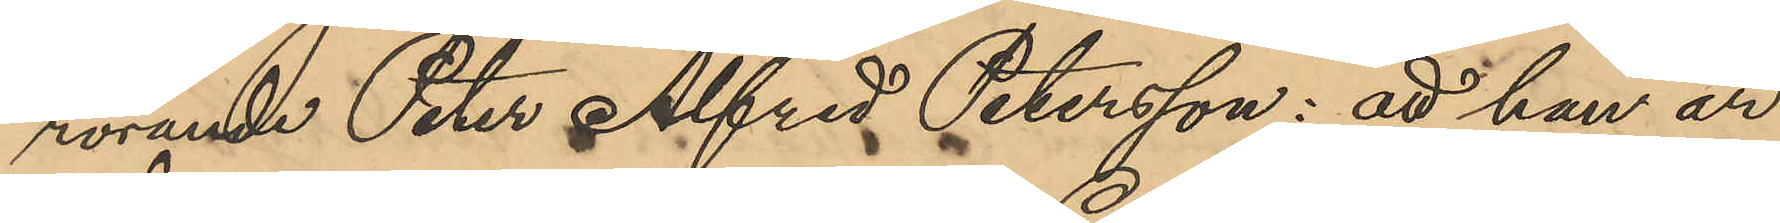rörande Peter Alfred Petersson: att han är
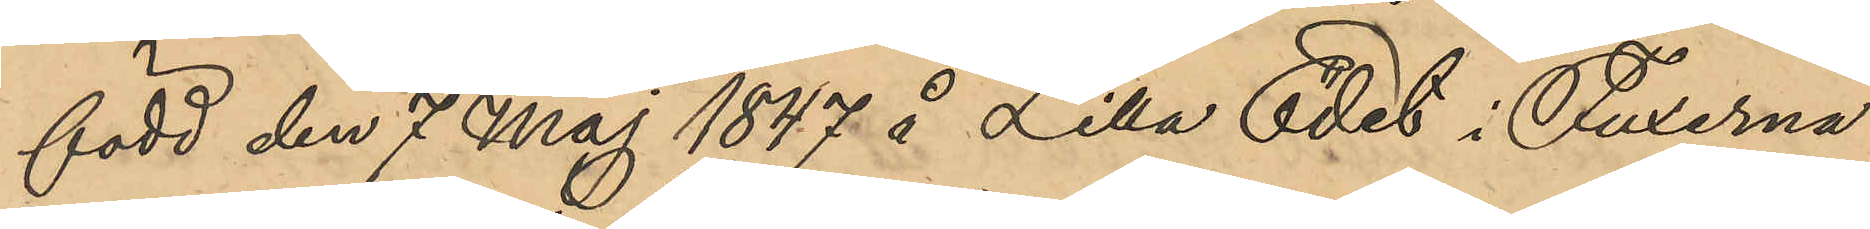född den 7 Maj 1847 å Lilla Edet i Fuxerna
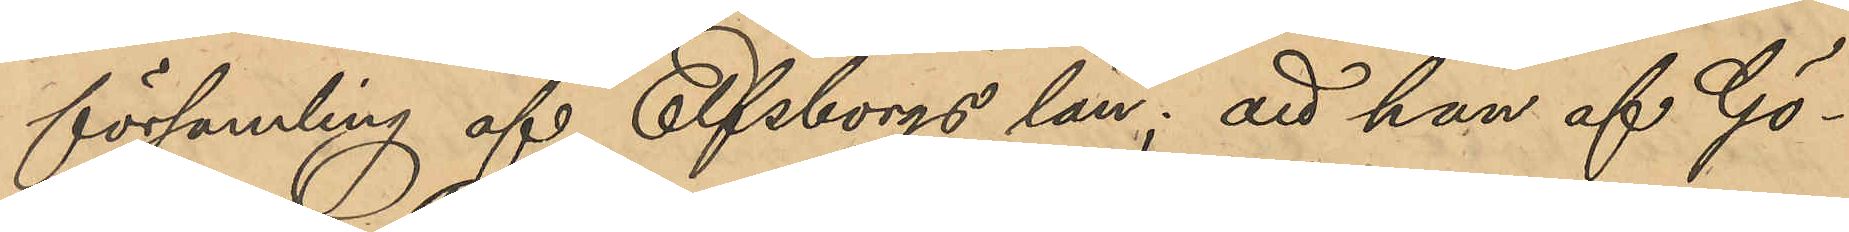församling af Elfsborgs län; att han af Gö¬
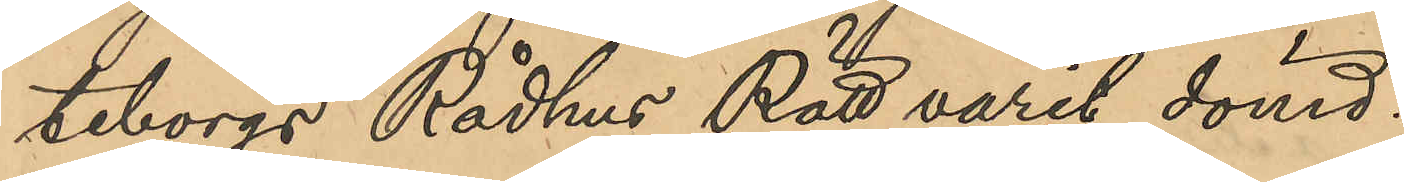teborgs Rådhus Rätt varit dömd:
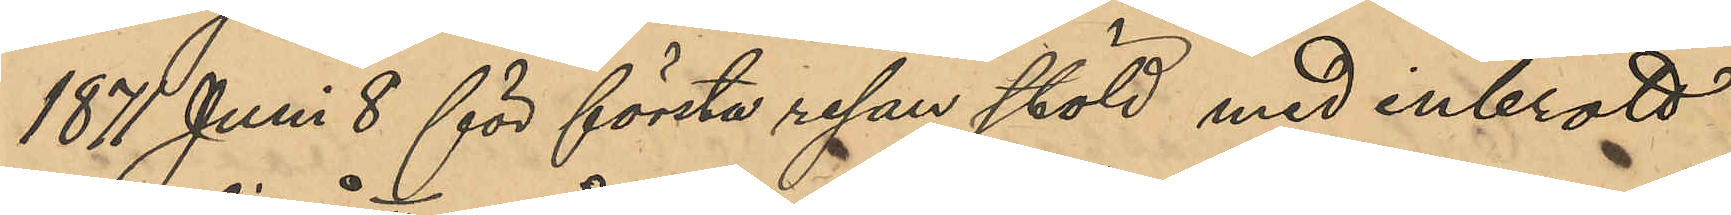1871 juni 8 för första resan stöld med inbrott
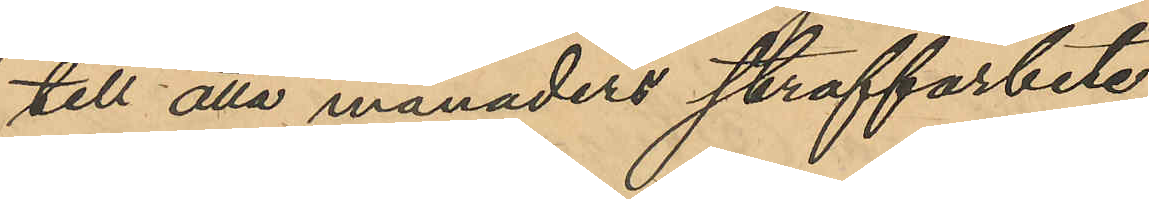till åtta månaders straffarbete
